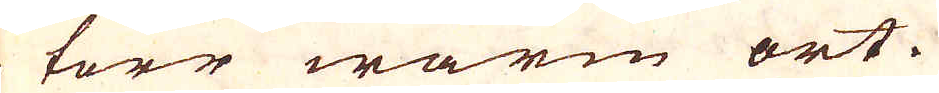en torr warm ort.
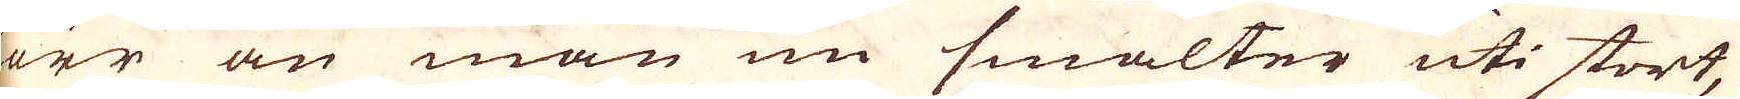Förr än man nu smälter uti stort,
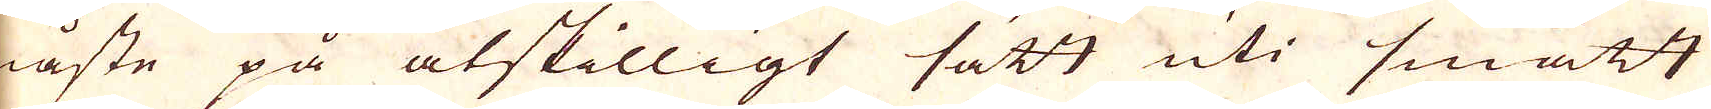måste på åtskilligt sätt uti smått
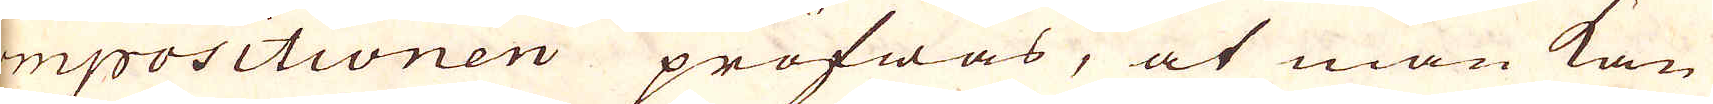compositionen pröfwas, at man kan
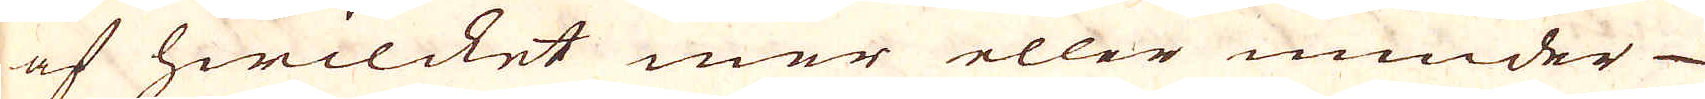se af hwilcket mer eller mindre
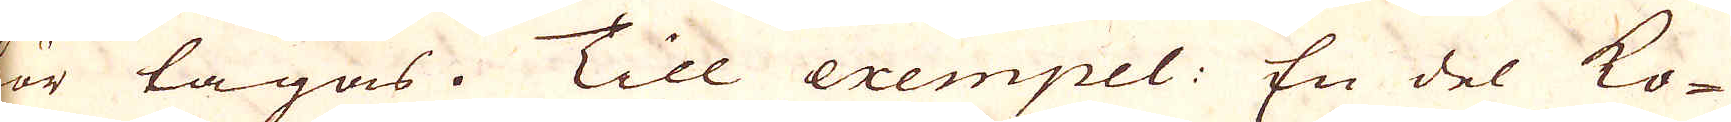bör lagas. Till exempel: En del ko-
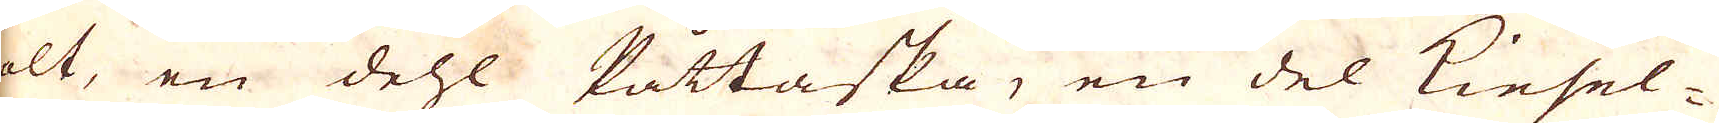bolt, en dehl Påttaska, en del Kiesel-
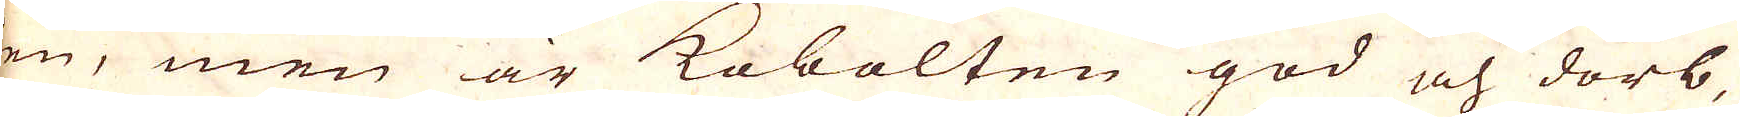sten, men är Kobolten god och dörb,
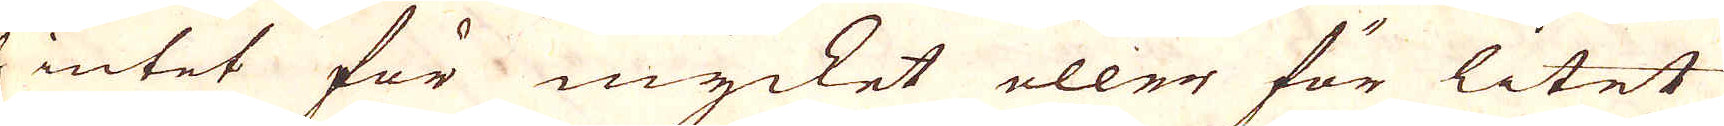och intet för mycket eller för litet
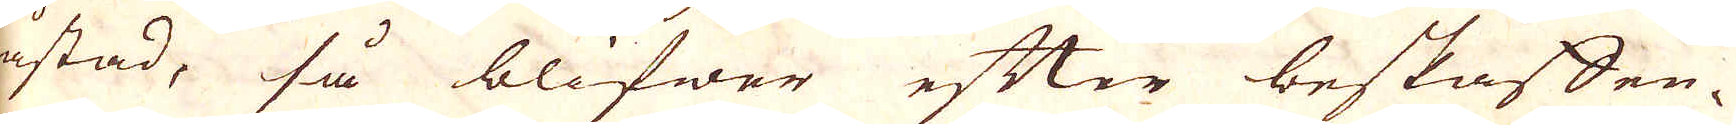råstad, så blifwer efter beskaffen-
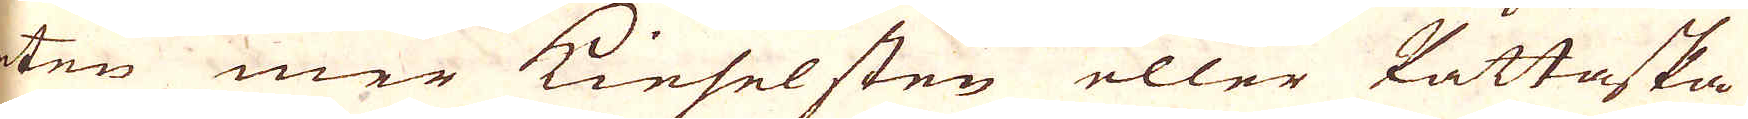heten mer Kieselsten eller Påttaska
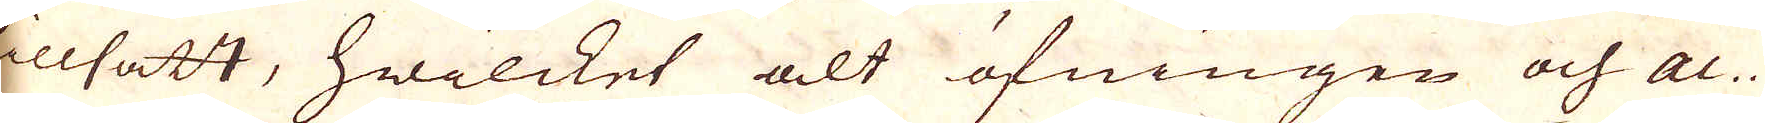tillsatt, hwilcket alt öfningen och ac-
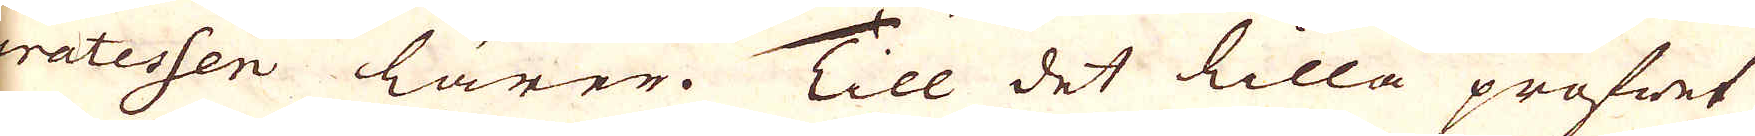curatessen lärer. Till det lilla profwet
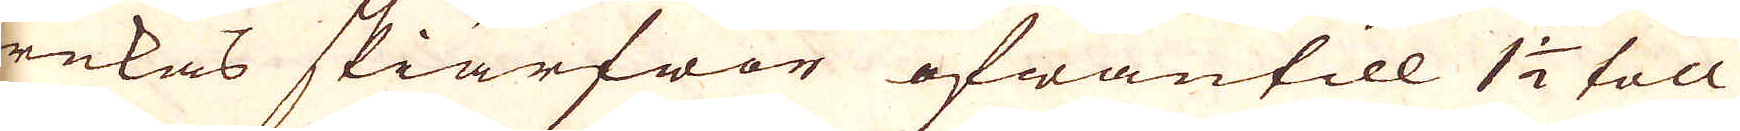brukas skiärfwor ofwantill 1 1/2 toll
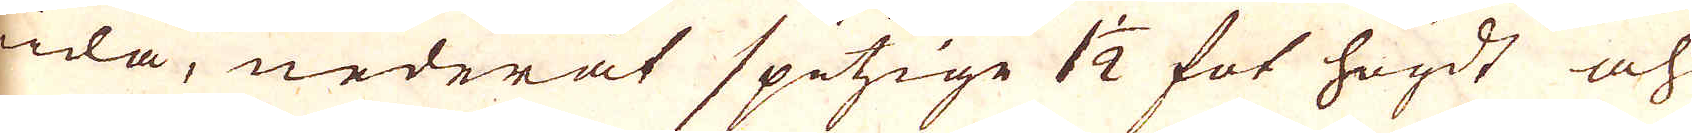wida, nederåt spitsige 1 1/2 fot högdt och
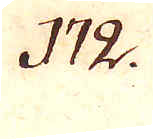172.
